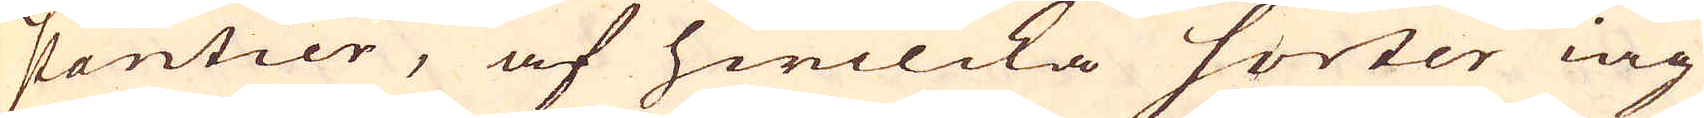stantier, af hwilcka sorter iag
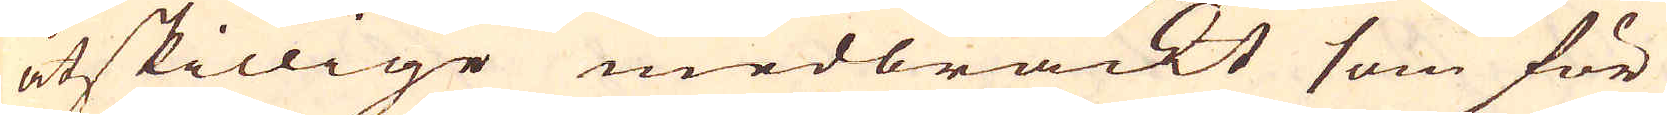åtskillige medbrackt som för
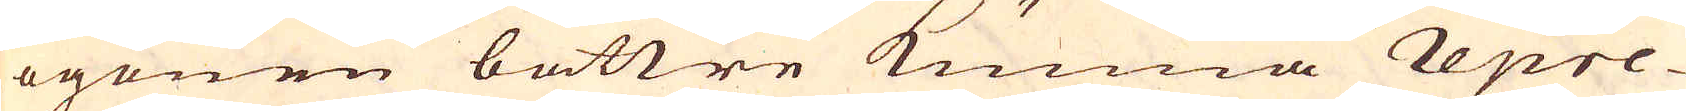ögonen bättre kunna repre-
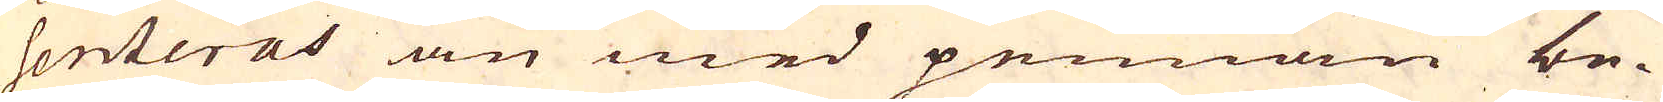senteras än med pennan be-
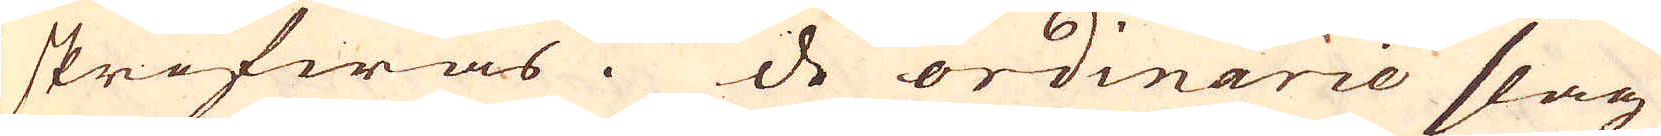skrifwas. De ordinarie slag
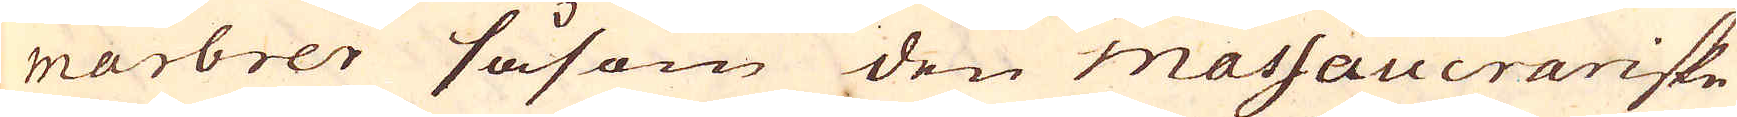marbrer såsom den massaucrariske
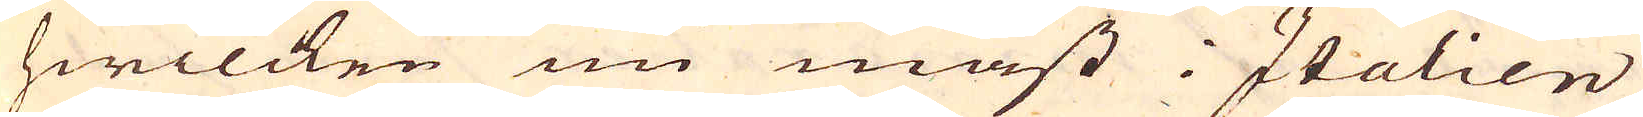hwilcken nu mäst i Italien
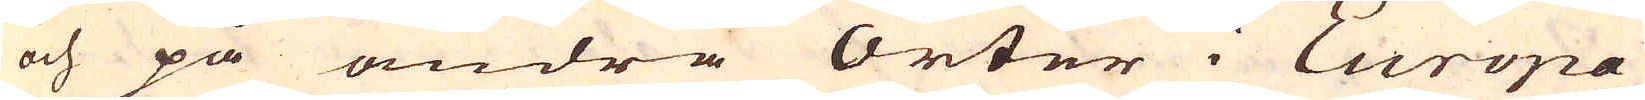och på andra Orter i Europa
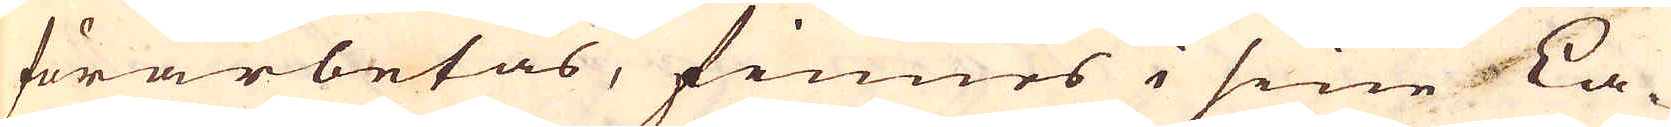förarbetas, finnes i sine La-
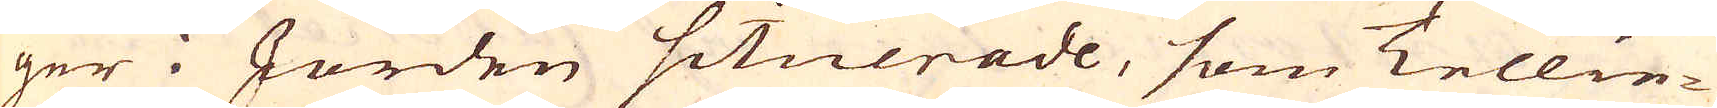ger i Jorden situerade, som Tellie-
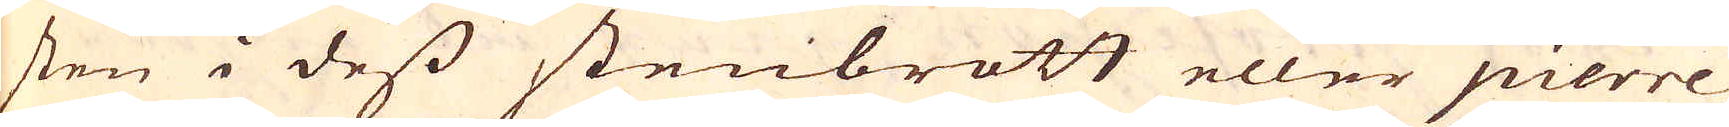sten i dess stenbrott eller pierre
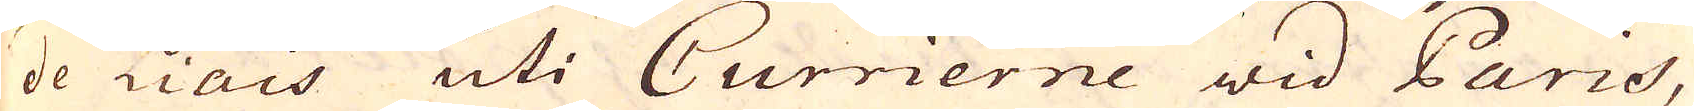de Liais uti Currierne wid Paris,
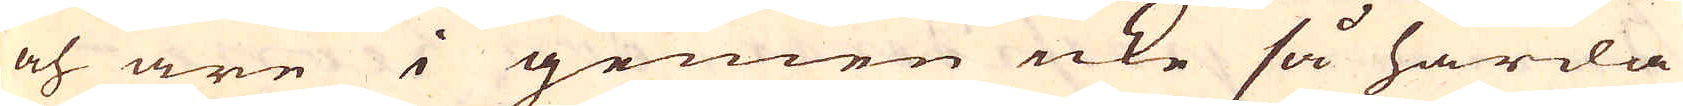och äre i gemen icke så hårda
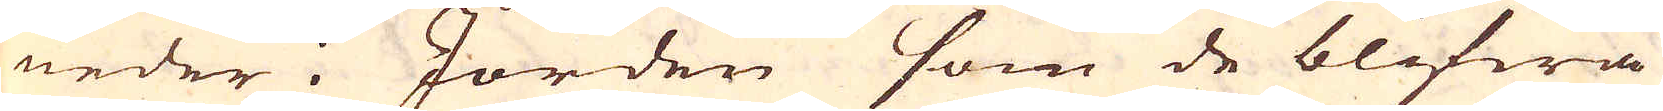neder i Jorden som de blifwa
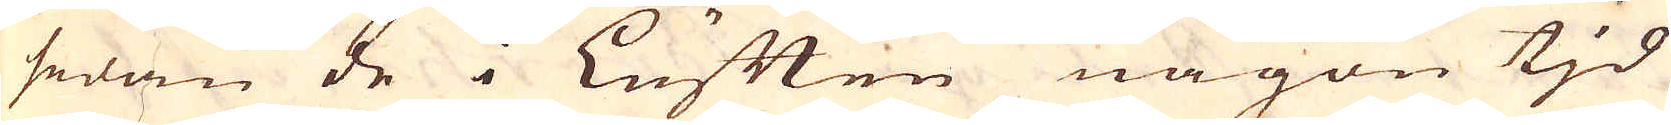sedan de i Luften någon tid
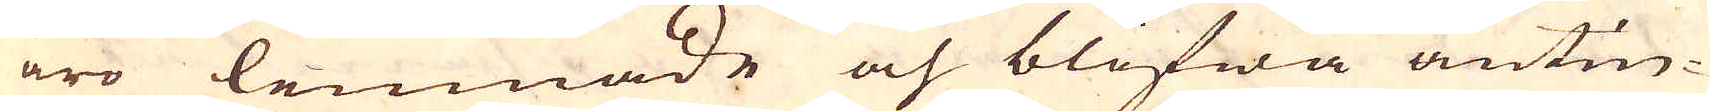äro lemnade och blifwa antin-
